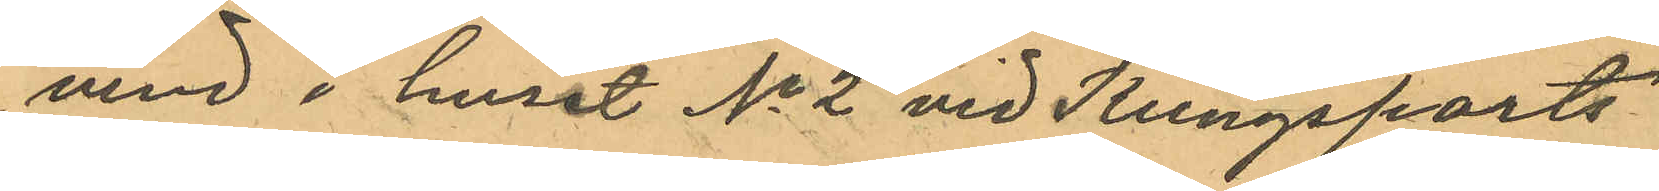vind i huset No 2 vid Kungsports¬
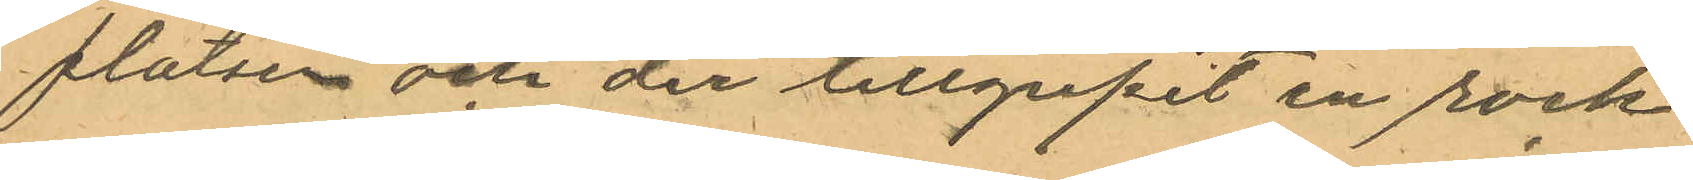platsen och der tillgripit en rock
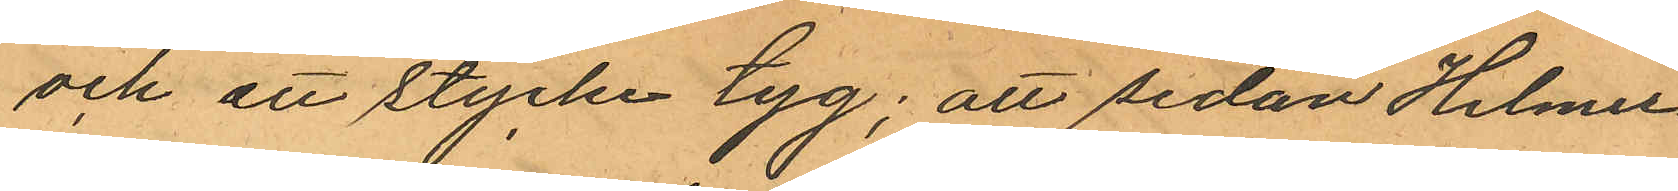och ett stycke tyg; att sedan Helmer
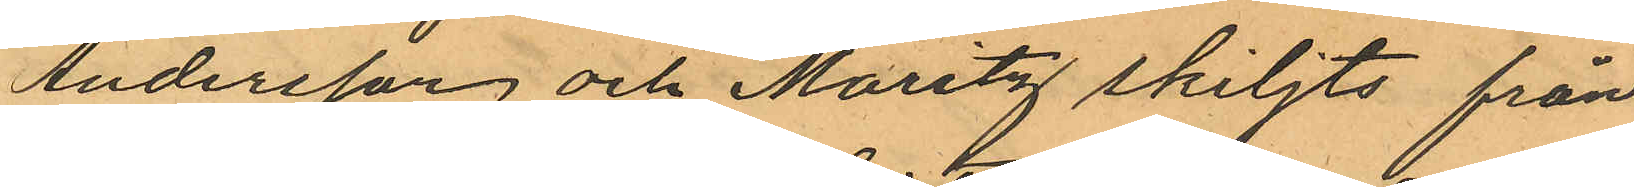Andersson och Moritz skiljts från
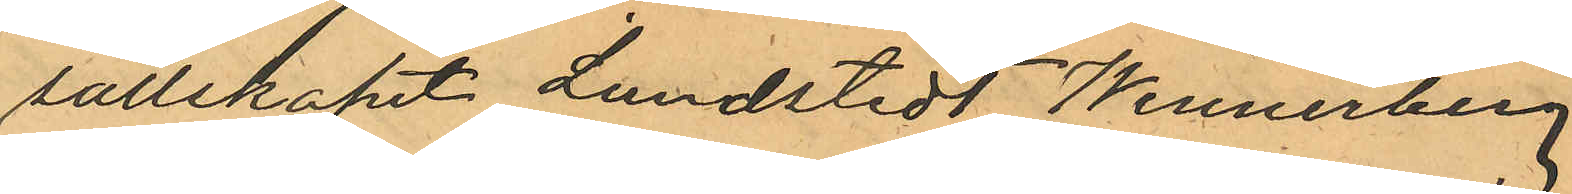sällskapet Lundstedt Wennerberg
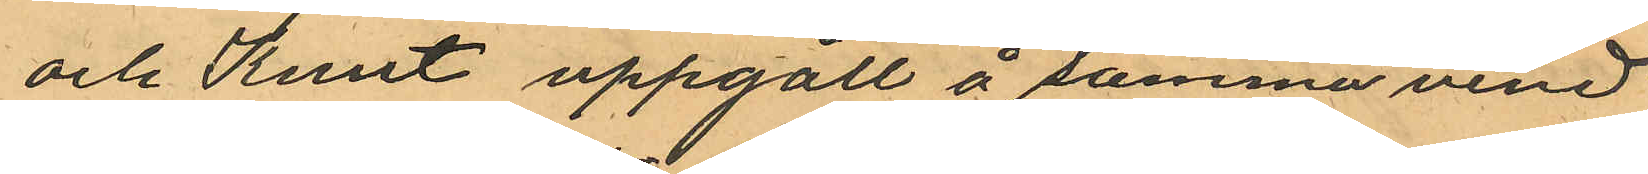och Knut uppgått å samma vind
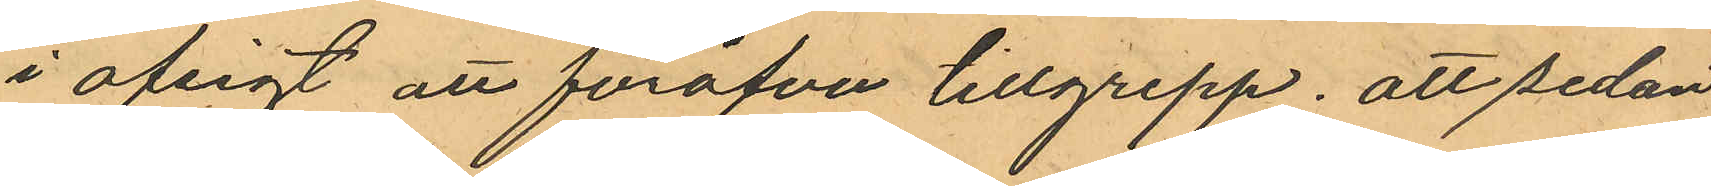i afsigt att föröfva tillgrepp; att sedan
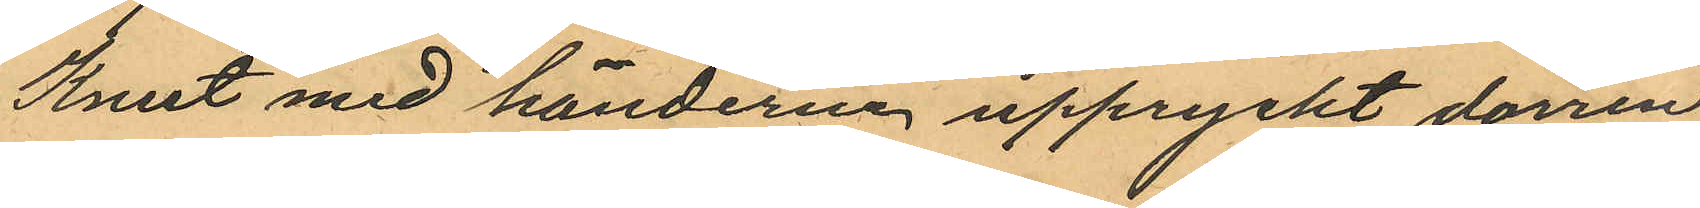Knut med händerna uppryckt dörren
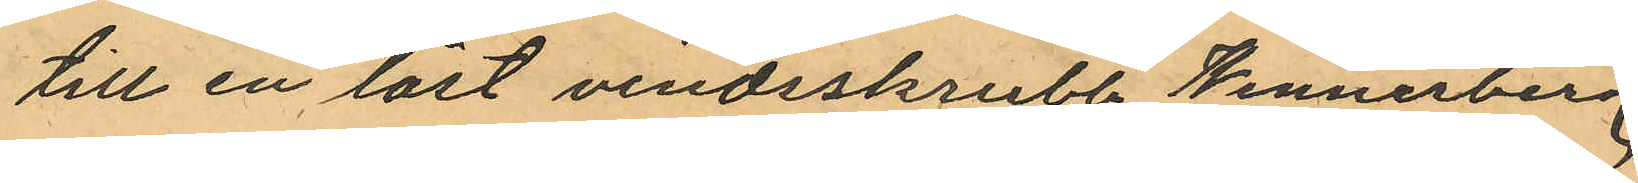till en låst vindsskrubb Wennerberg
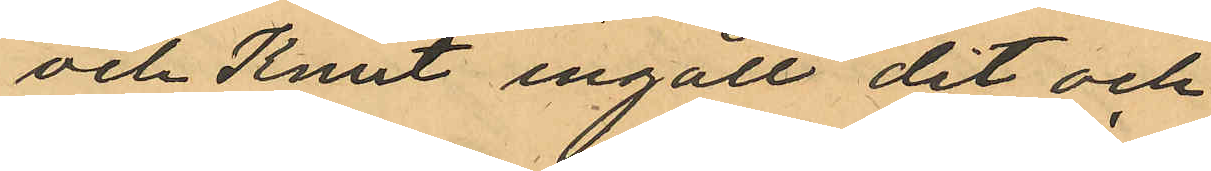och Knut ingått dit och
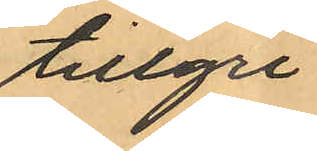tillgri
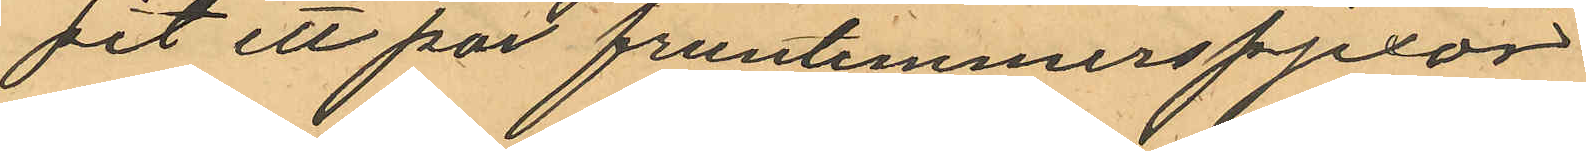pit ett par fruntimmerspjexor
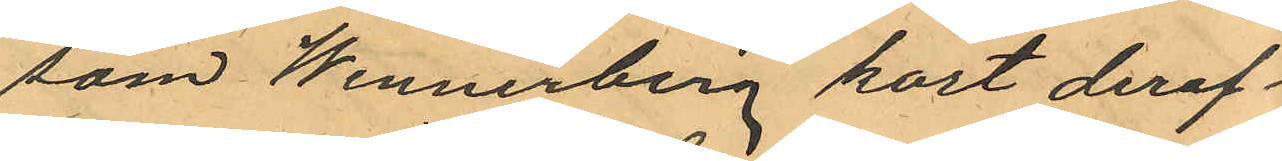som Wennerberg kort deref¬
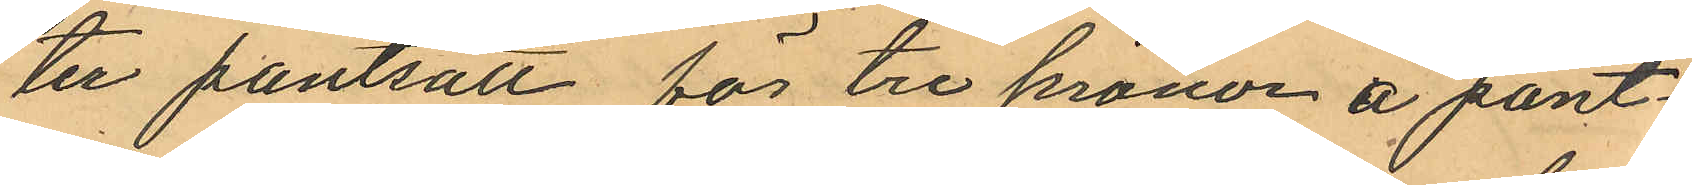ter pantsatt för tre kronor å pant¬
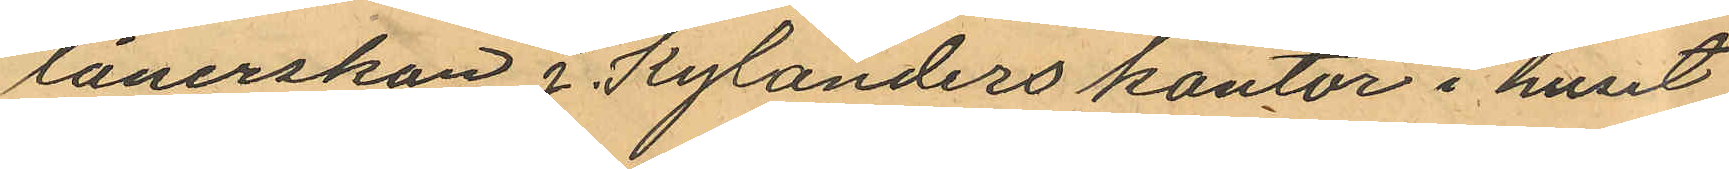lånerskan J. Kylanders kontor i huset
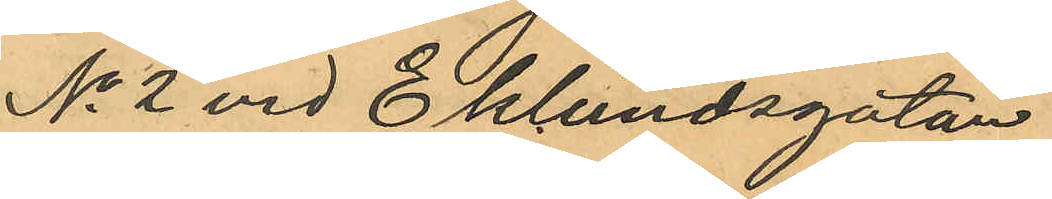No 2 vid Eklundsgatan.
